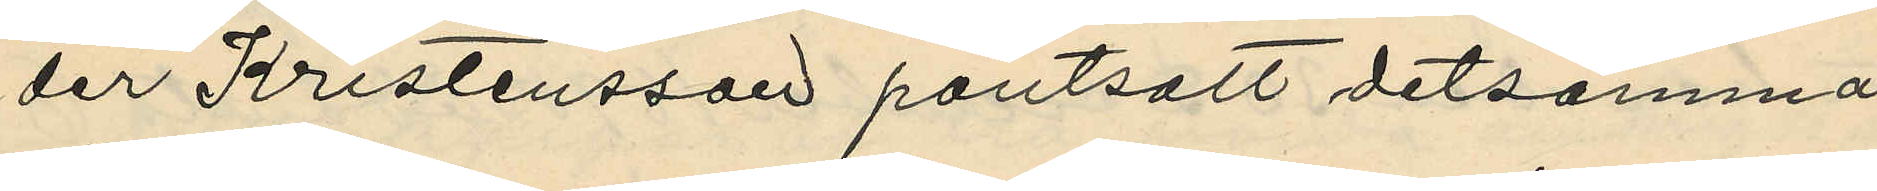der Kristensson pantsatt detsamma
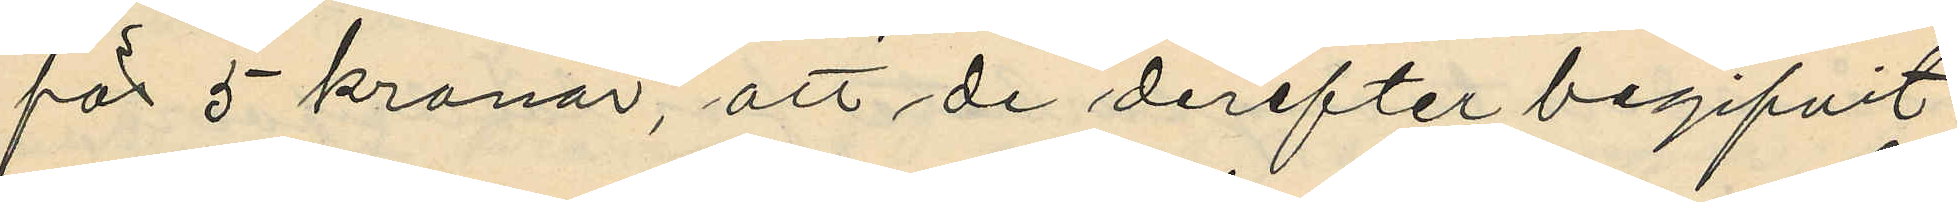för 5 kronor, att de derefter begifvit
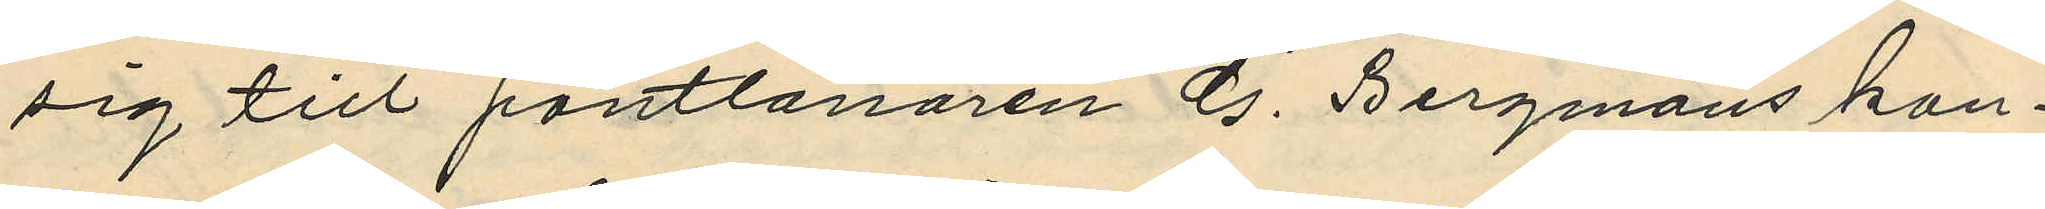sig till pantlånaren G. Bergmans kon¬
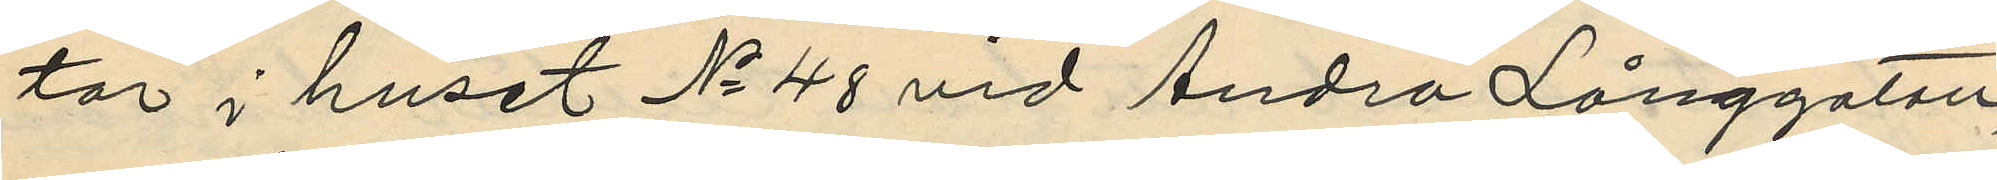tor i huset No 48 vid Andra Långgatan,
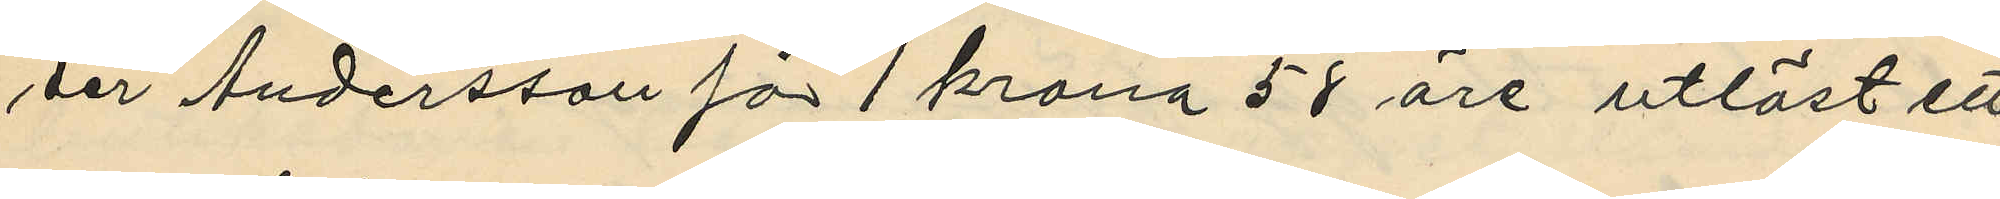der Andersson för 1 krona 58 öre utlöst ett
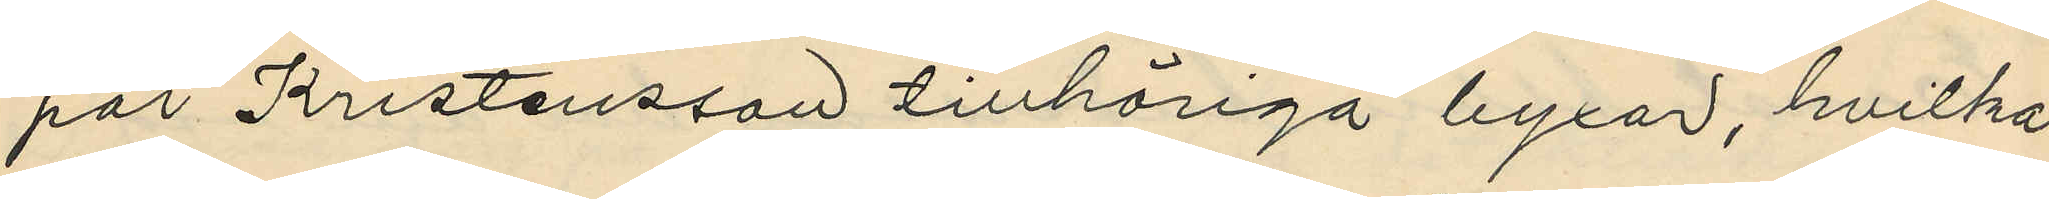par Kristensson tillhöriga byxor, hvilka
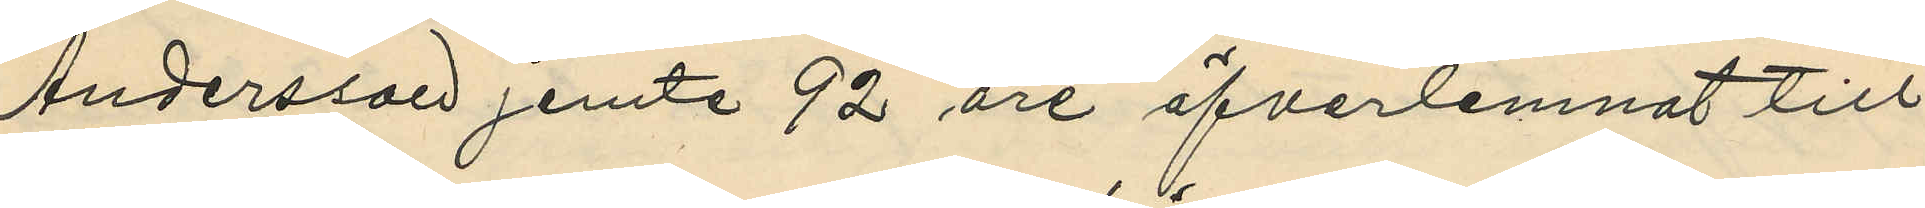Andersson jemte 92 öre öfverlemnat till
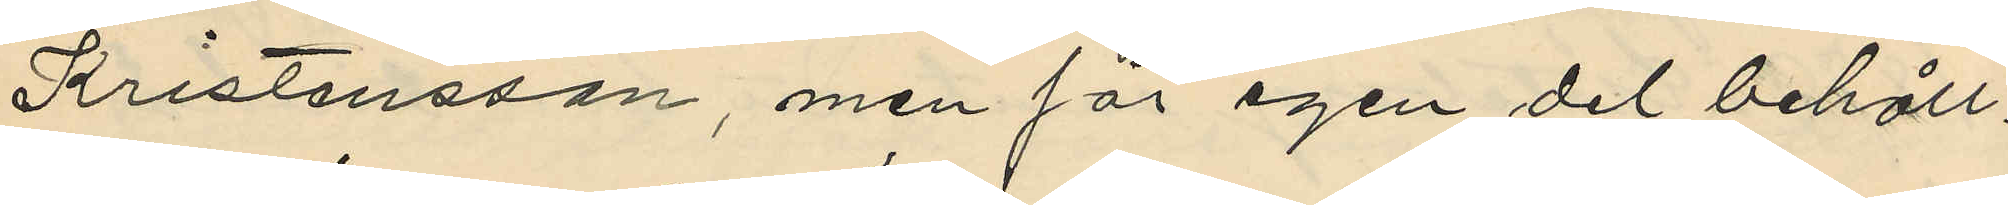Kristensson, men för egen del behåll¬
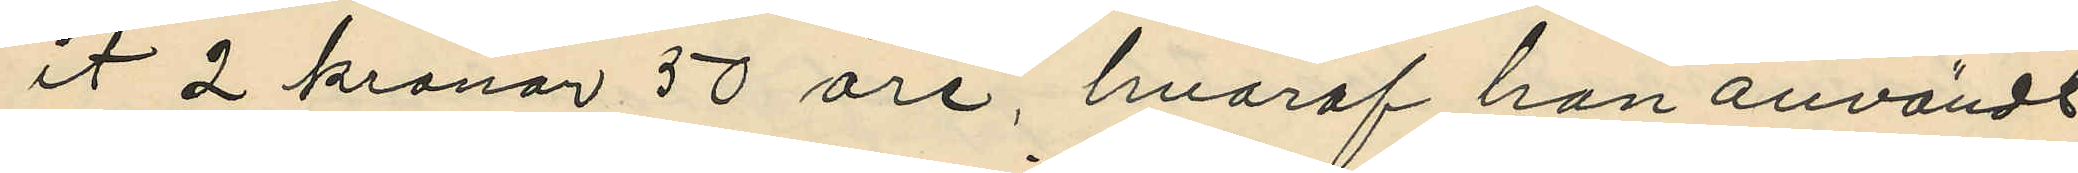it 2 kronor 50 öre, hvaraf han användt
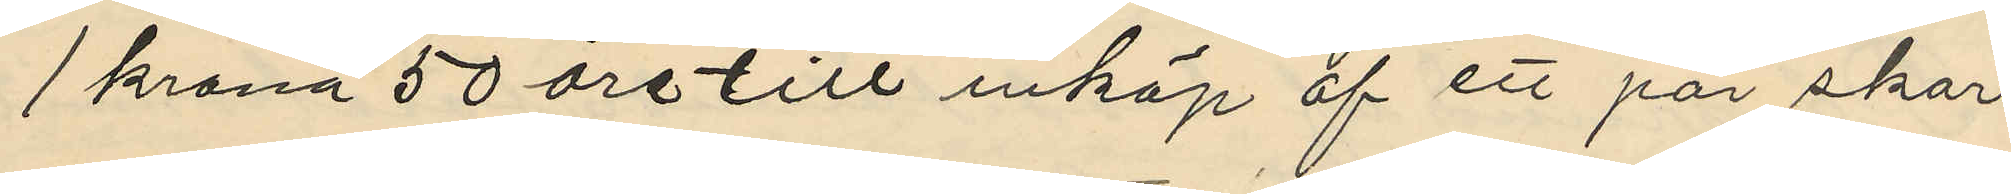1 krona 50 öre till inköp af ett par skor
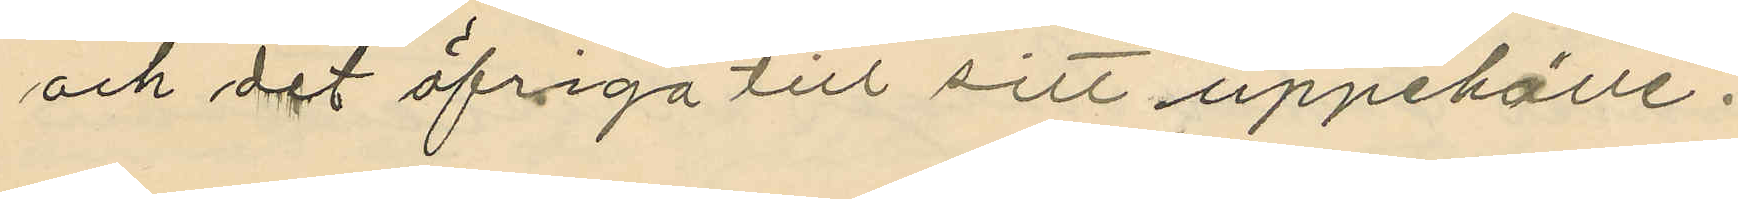och det öfriga till sitt uppehälle.
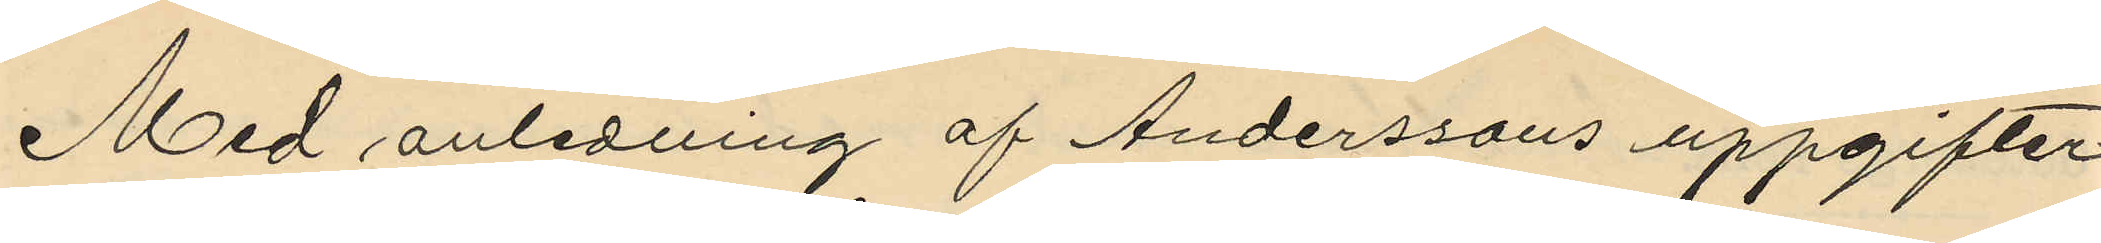Med anledning af Anderssons uppgifter
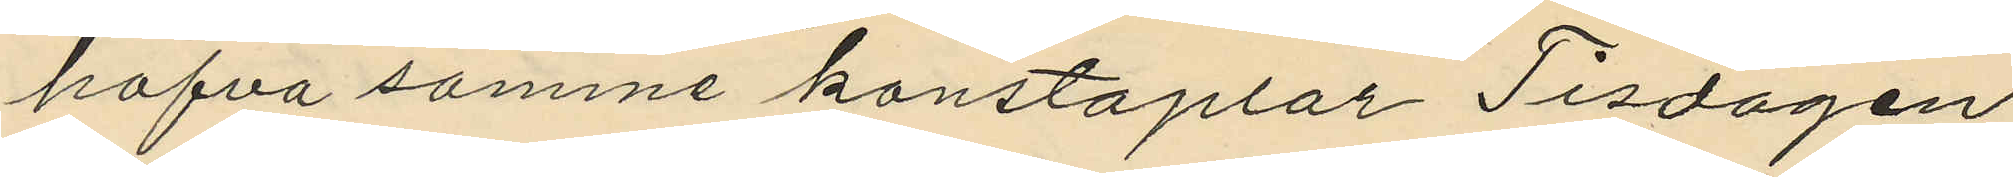hafva samme konstaplar Tisdagen
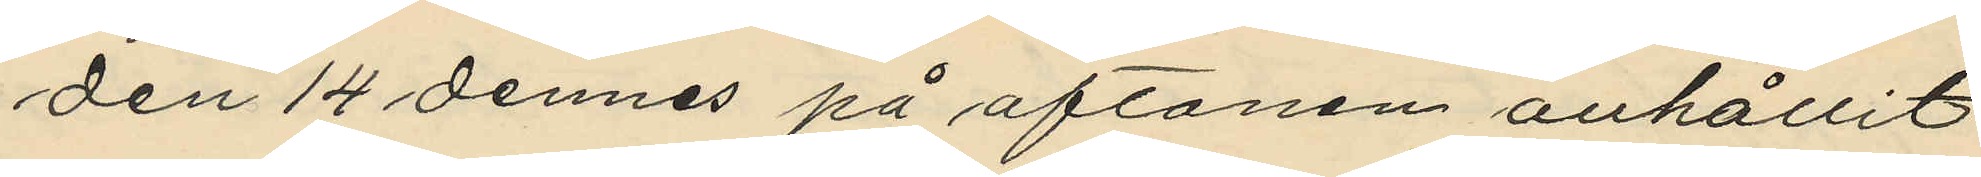den 14 dennes på aftonen anhållit
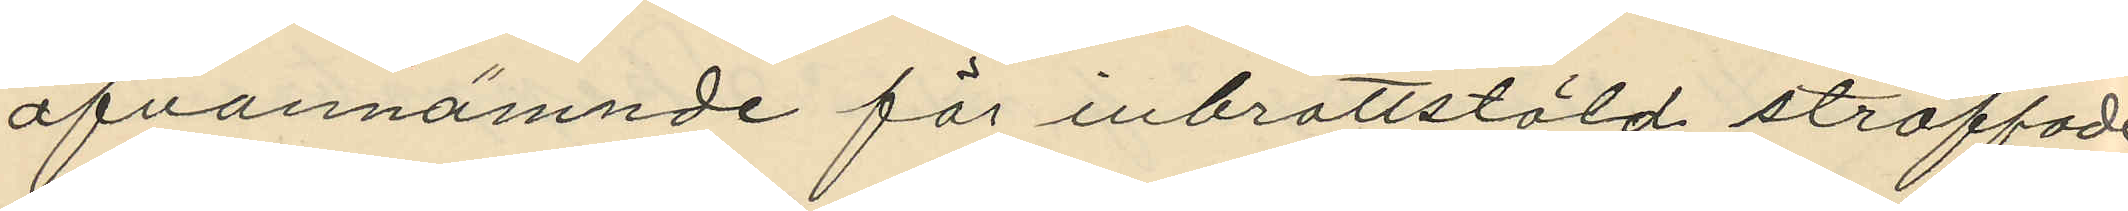ofvannämnde för inbrottstöld straffade
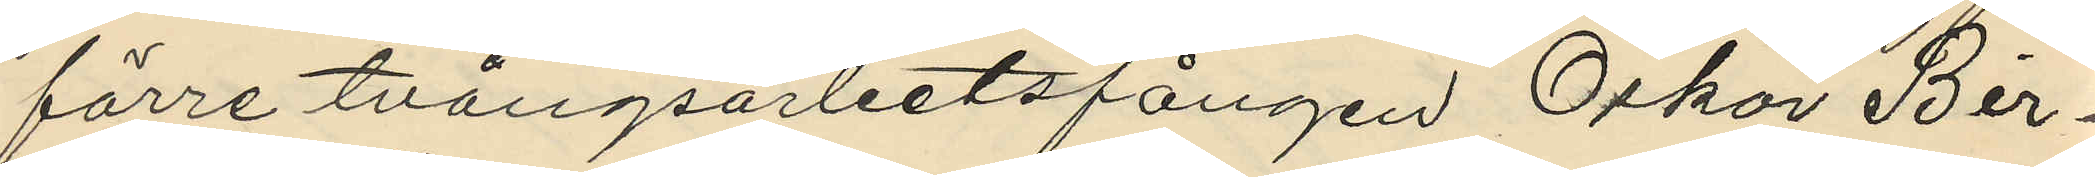förre tvångsarbetsfången Oskar Bir¬
